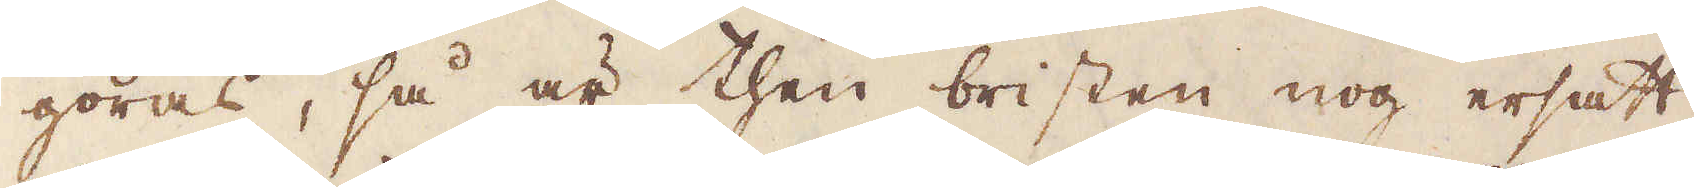göras, så är then bristen nog ersatt
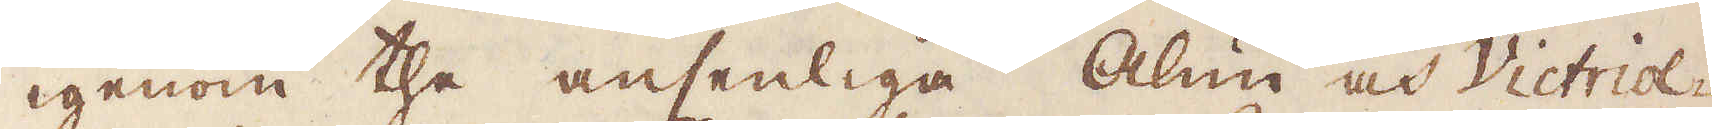igenom the ansenliga Alun och Victriol-
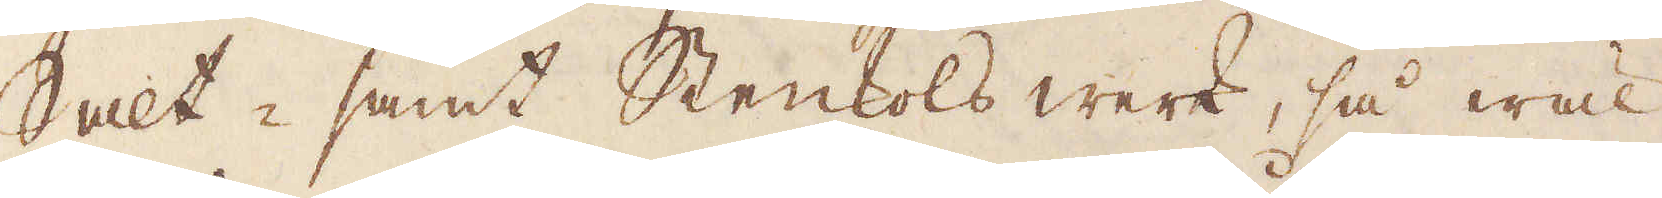Salt- samt Stenkols werk, så wäl
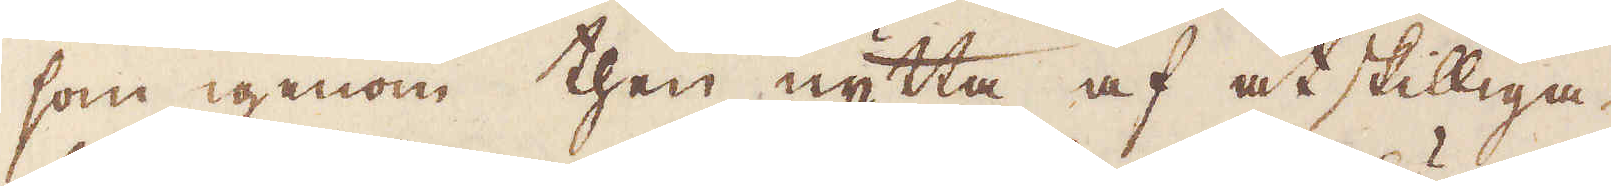som igenom then nytta af åtskilliga
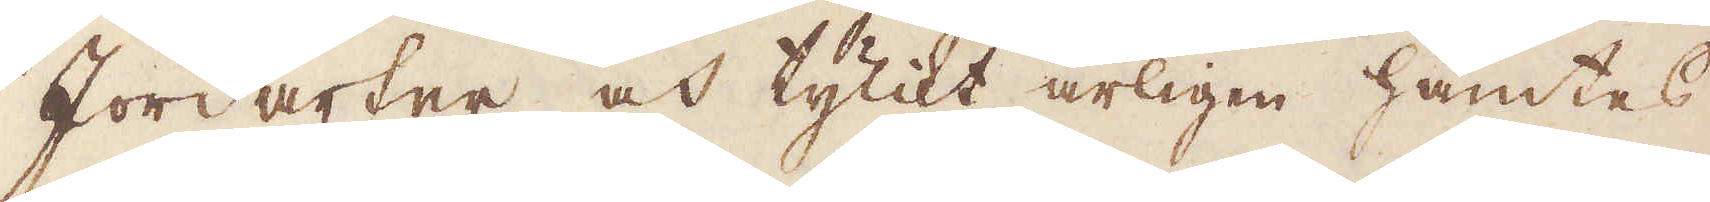Jordarter och tylikt årligen hämtes.
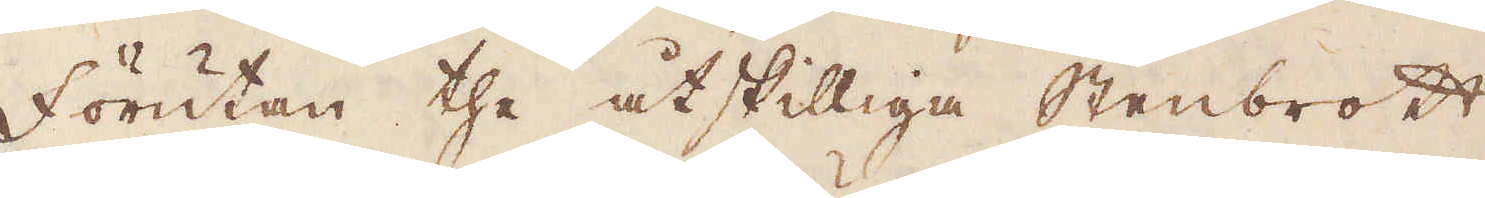Förutan the åtskilliga stenbrott
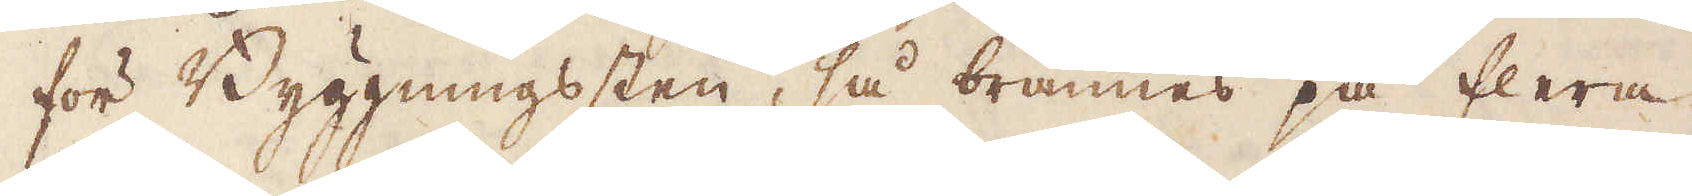för Byggningssten, så brännes på flera
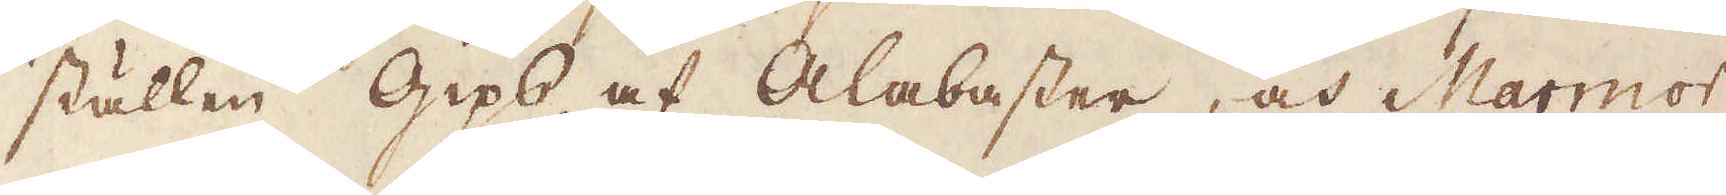ställen Gips af Alabaster, och Marmor,
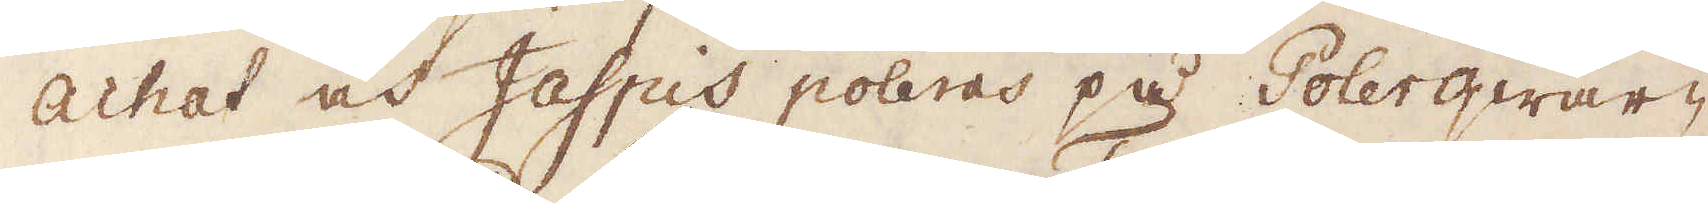Achat och Jaspis poleras på Polerqwar-
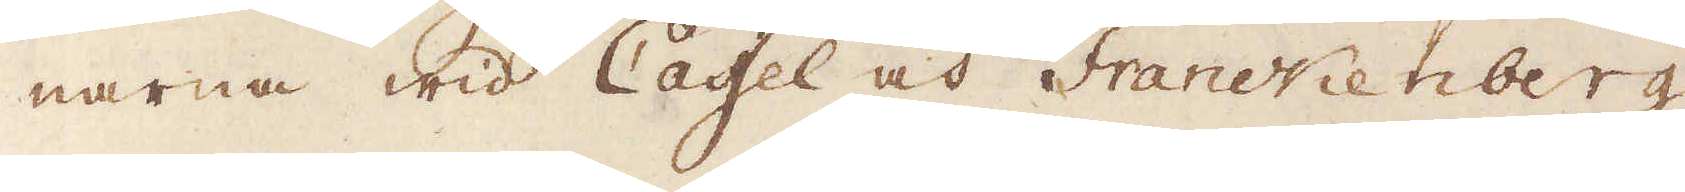narna wid Cassel och Franckenberg,
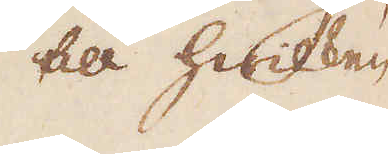till hwilken
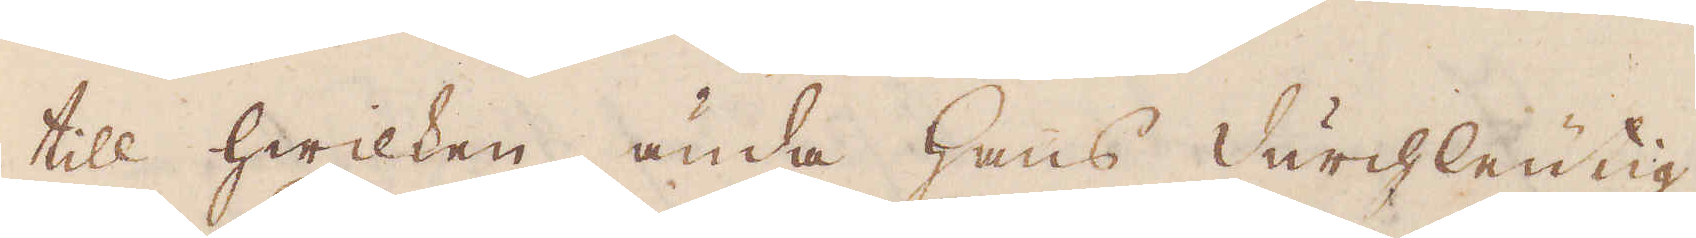till hwilken ända hans Durchleutig-
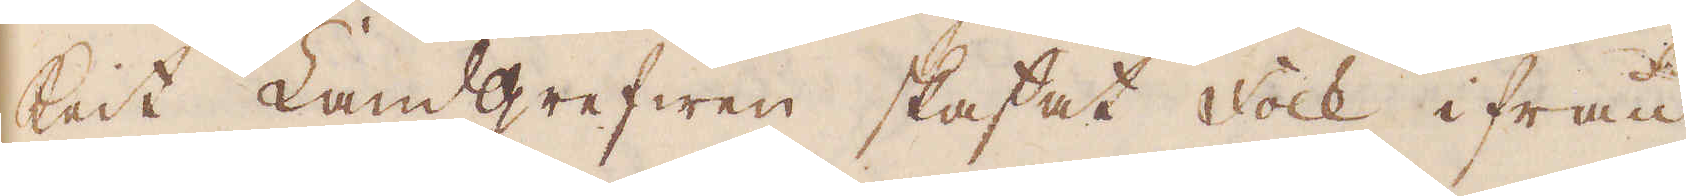keit Landgrefwen skaffat folk ifrån
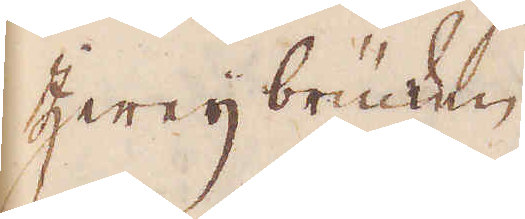Zweijbrücken.
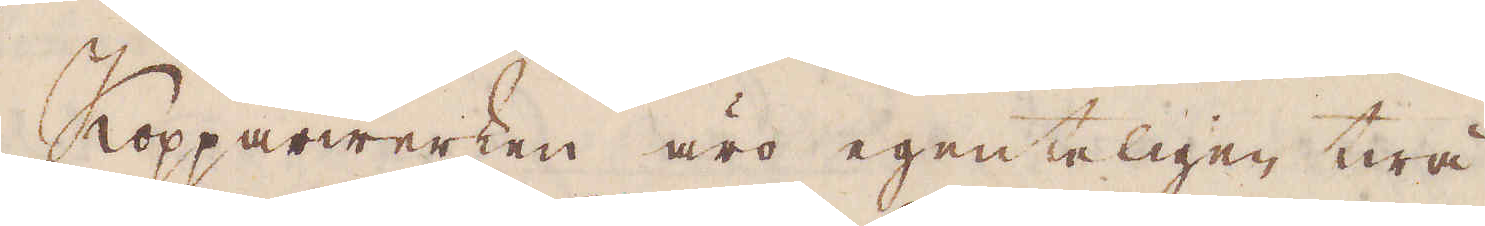Kopparwerken äro egenteligen twå,
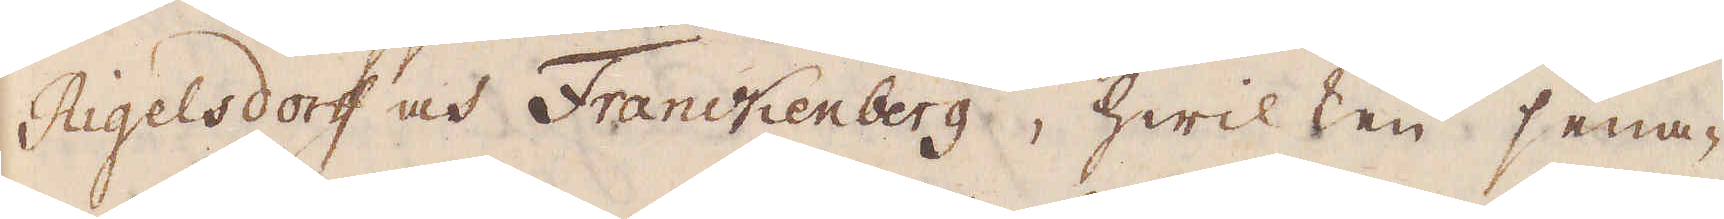Rigelsdorff och Franckenberg, hwilken sena-
